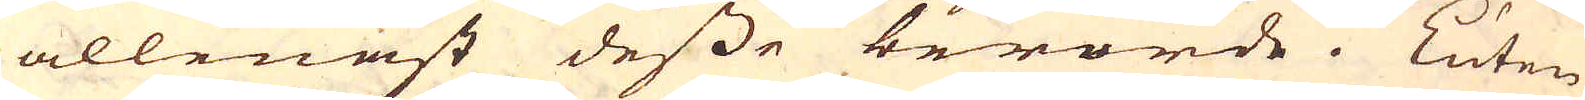allenast desse berörde. Luten
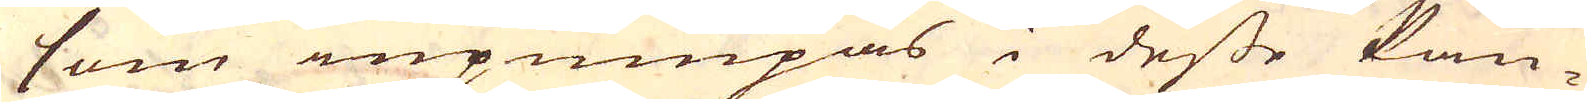som inpumpas i desse kan-
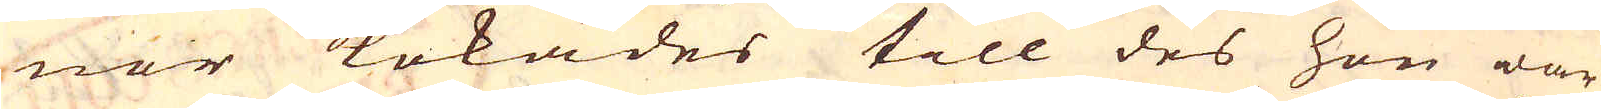nor kokades till des hon war
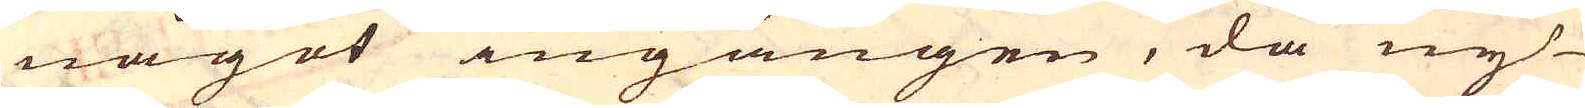något ingången, då ny
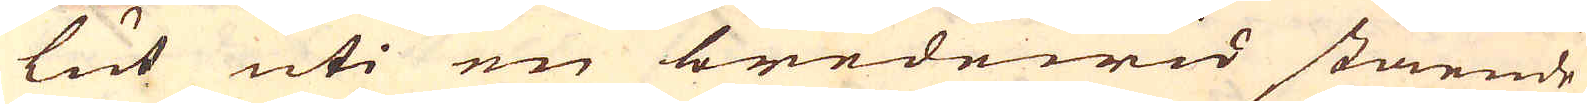lut uti en bredewid stående
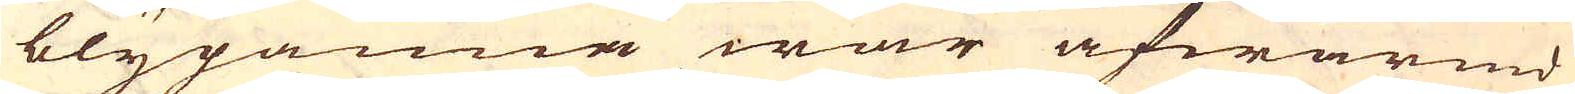blypanna war afwärmd
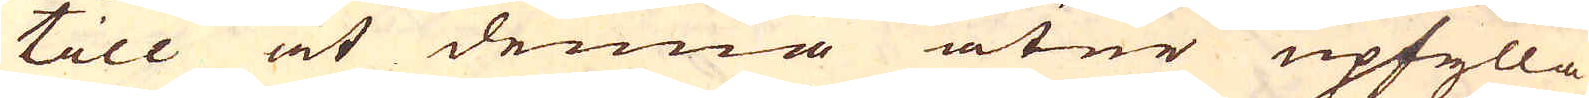till at denna åter upfylla
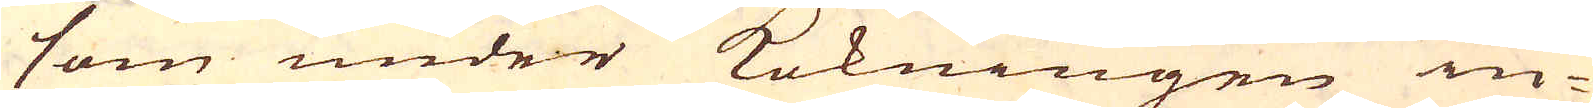som under kokningen in-
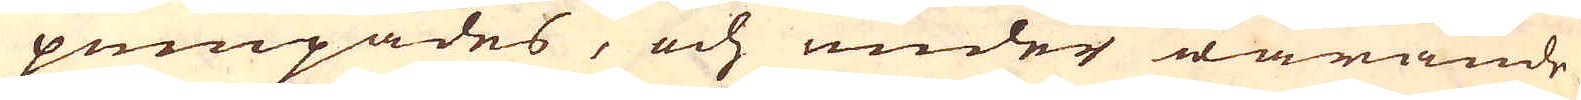pumpades, och under warande
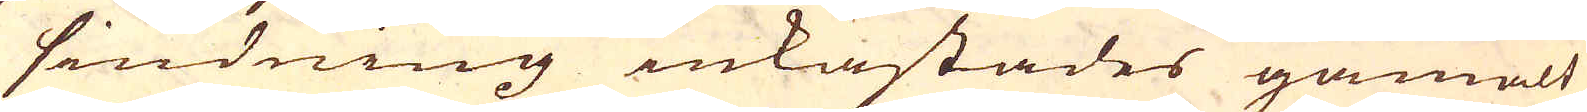siudning inkastades gamalt
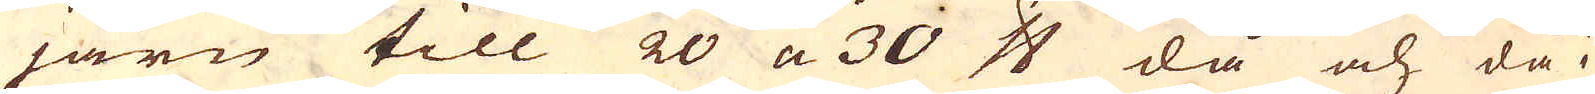järn till 20 a 30 skålpund då och då i
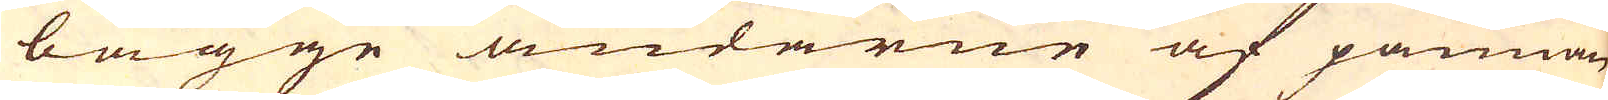bägge ändarne af pannan
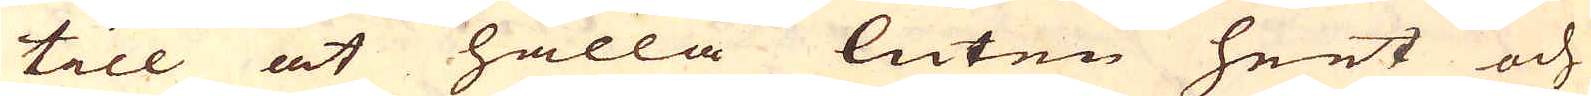till at hålla luten heet och
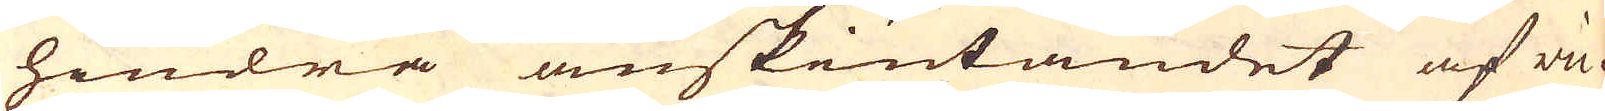hindra anskiutandet af vic-
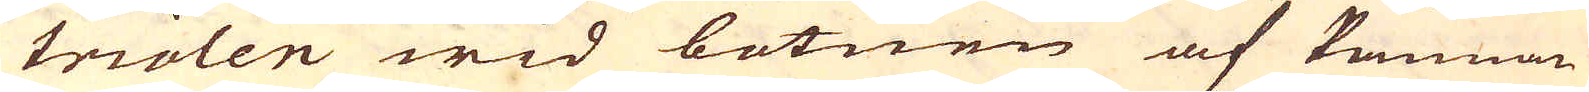triolen wid botnen af Pannan
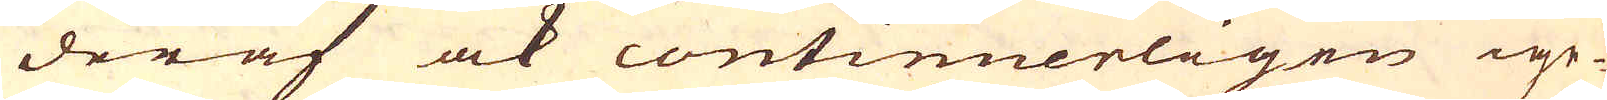deraf ock continuerligen ige-
